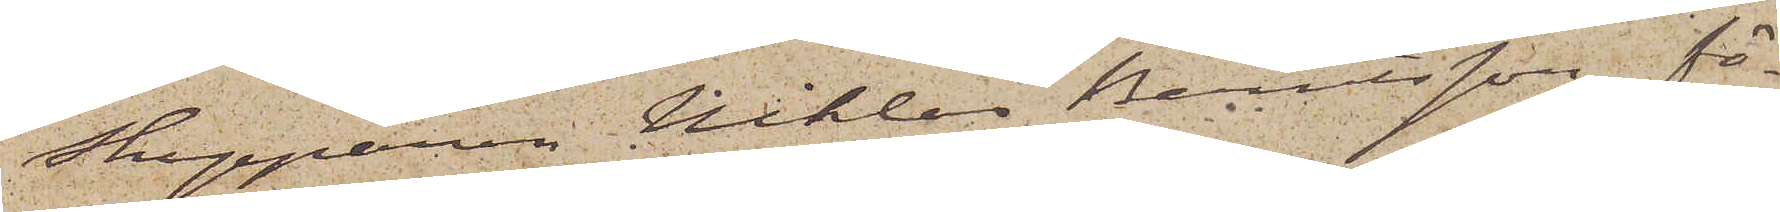skepparen Niklas Berntsson, fö¬
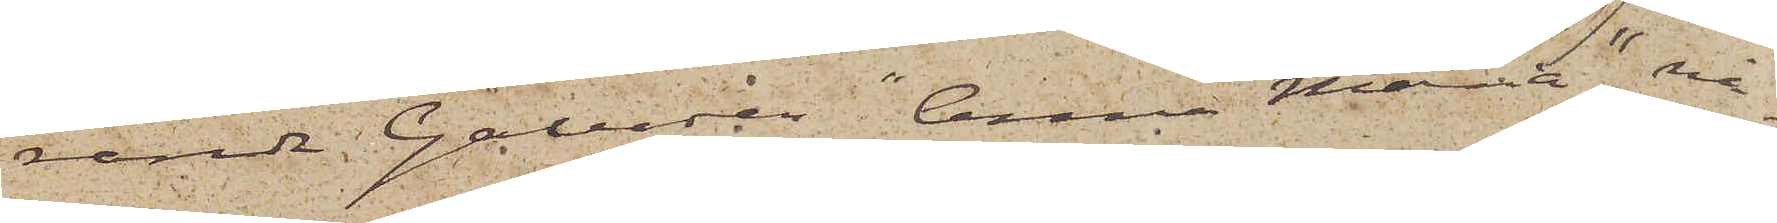rande Galeasen "Anna Maria", nå¬
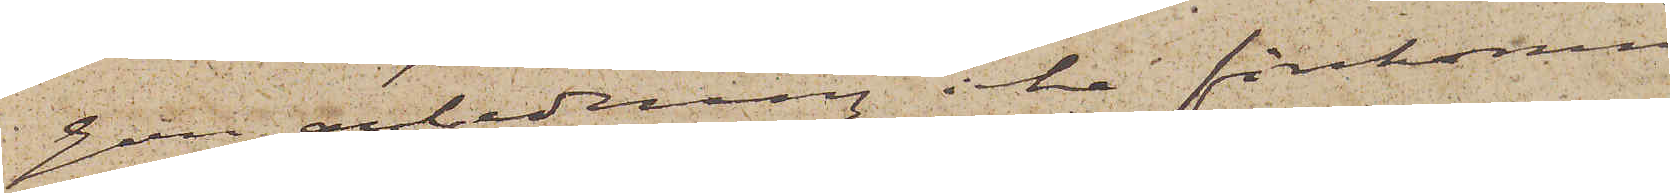gon anledning icke förekommit
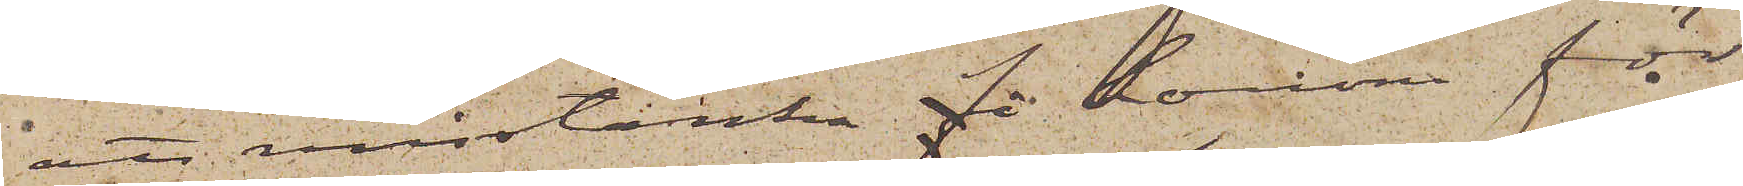att misstänka fö honom för
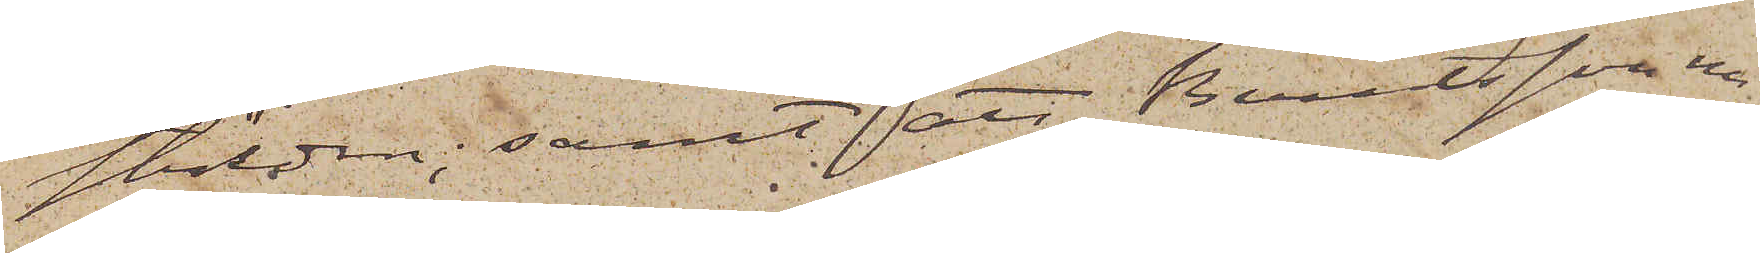stölden; samt att Berntsson nu¬
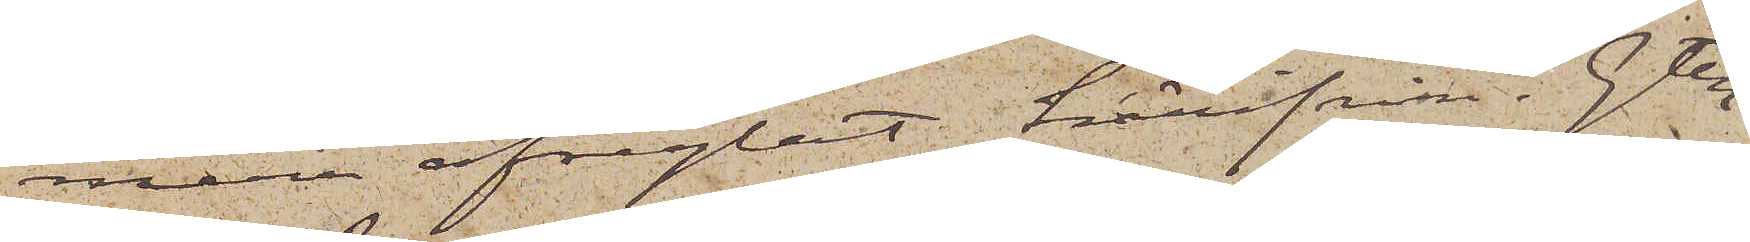mera afseglat härifrån. Gtbg
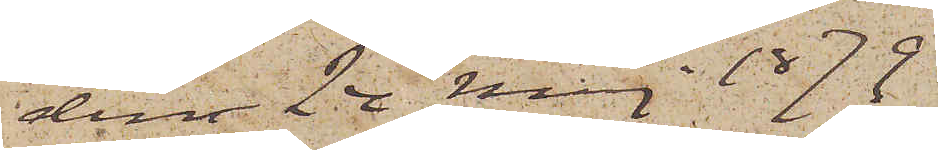den 24 Maj 1879
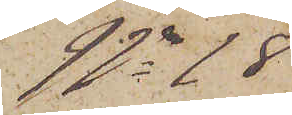No 18
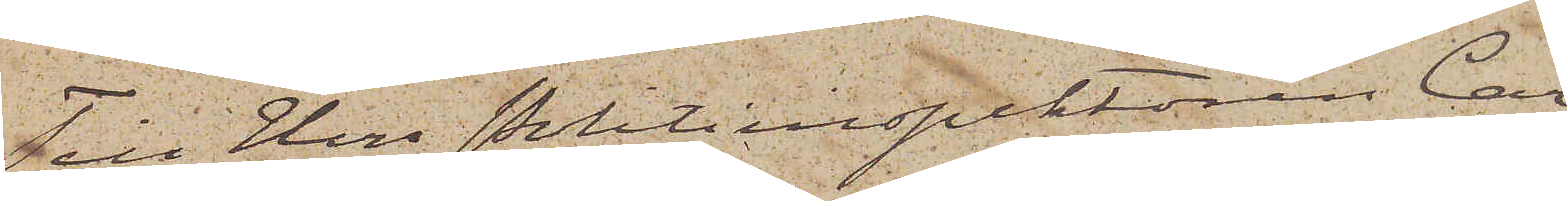Till Herr Politiinspektören Car¬
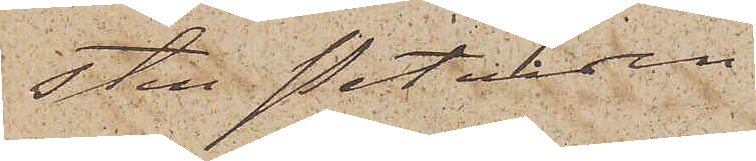sten Petersen
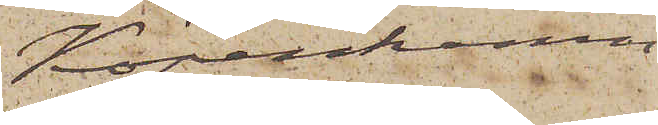Köpenhamn
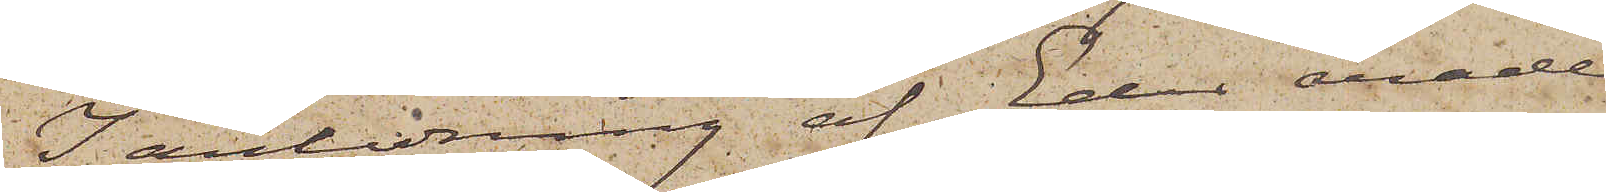I anledning af Eder ärade
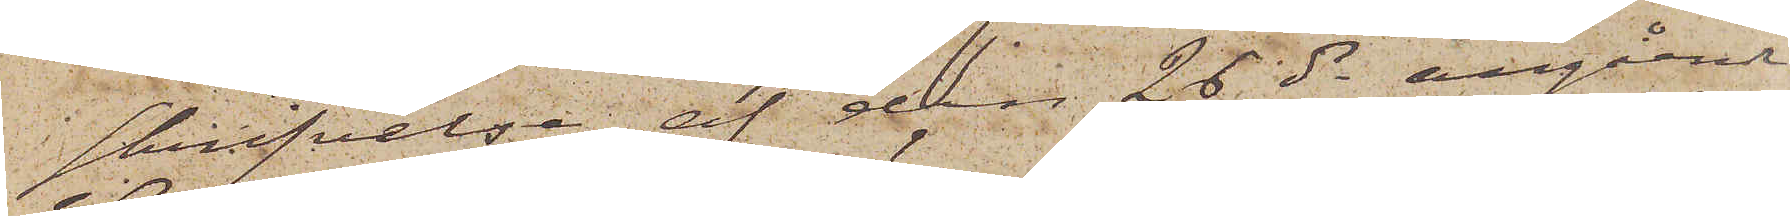skrifvelse af den 26 ds angående
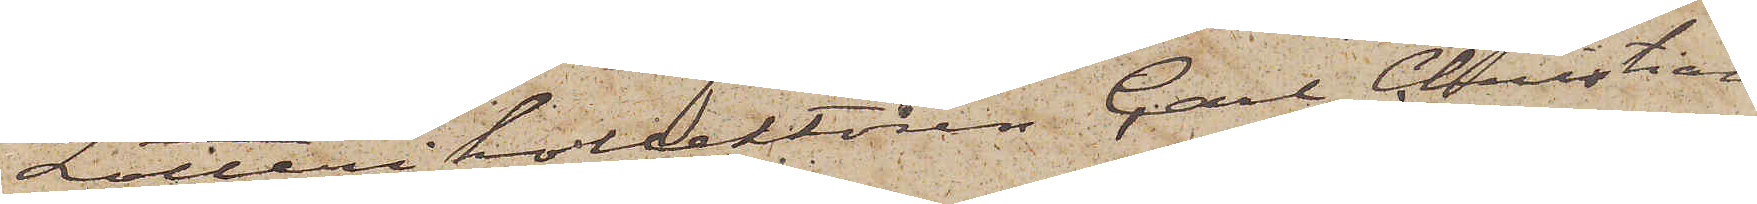Lotterikollektören Carl Christian
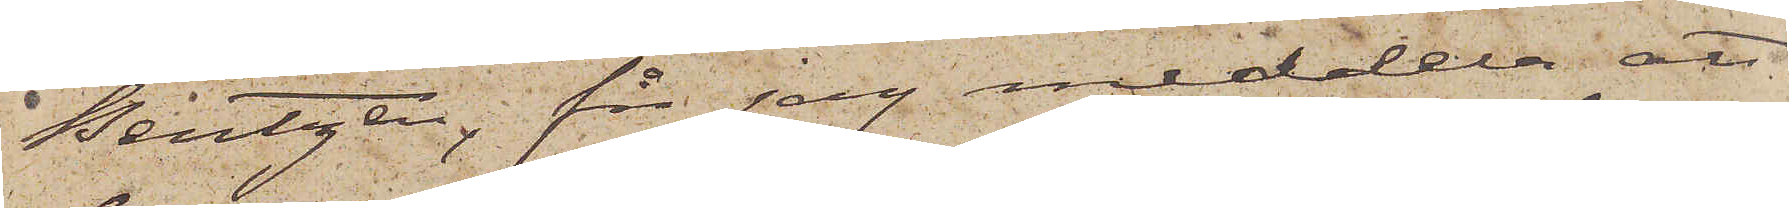Bentzen, får jag meddela; att
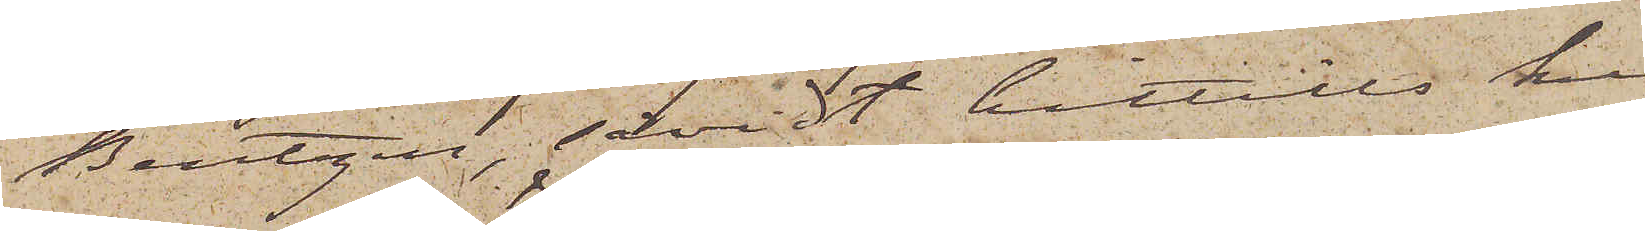Bentzen, såvidt hittills kun¬
